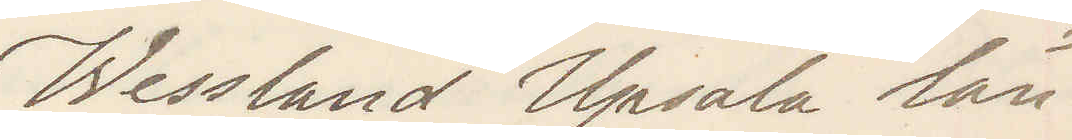Wessland Upsala län
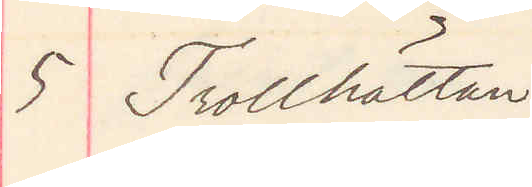5 Trollhättan
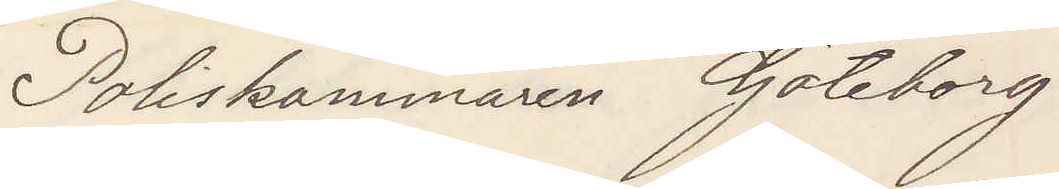Poliskammaren Göteborg
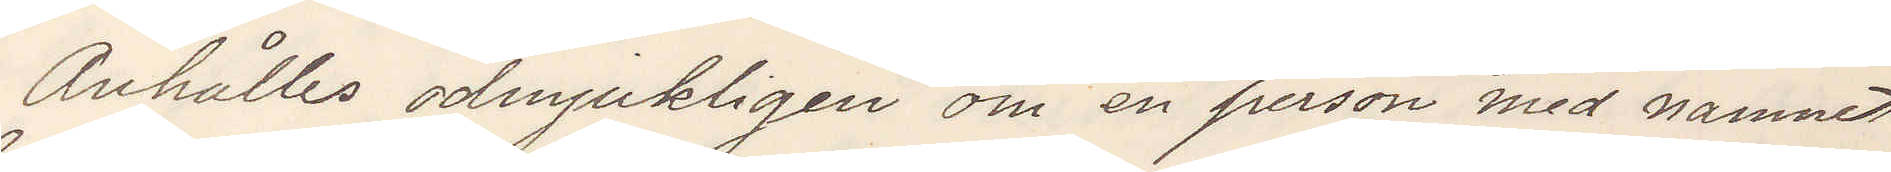Anhålles ödmjukligen om en person med namnet
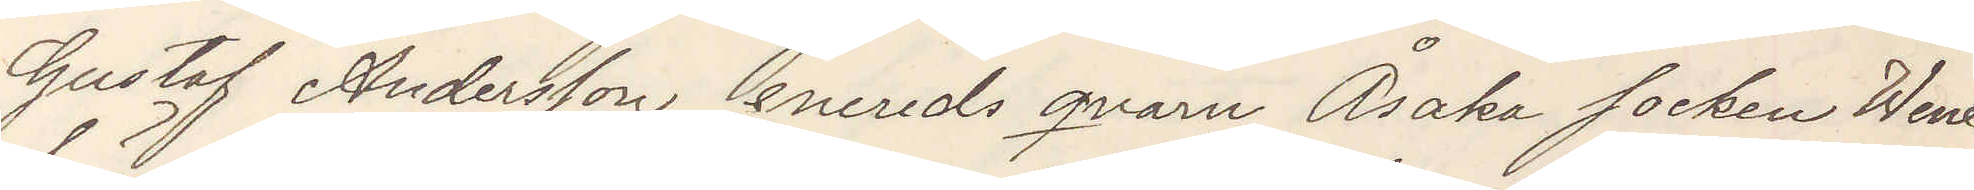Gustaf Andersson enereds qvarn Åsaka socken Wene
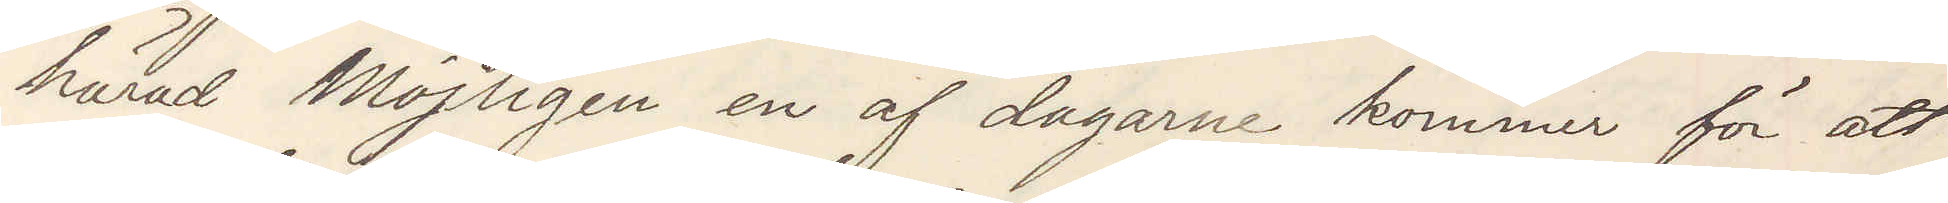härad Möjligen en af dagarne kommer för att
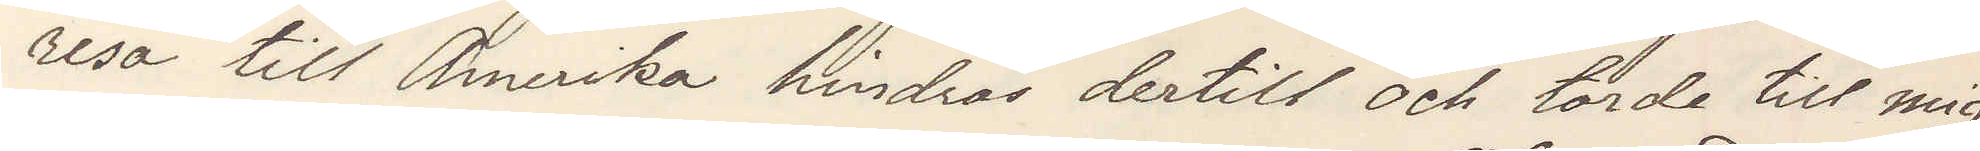resa till Amerika hindras dertill och torde till mig
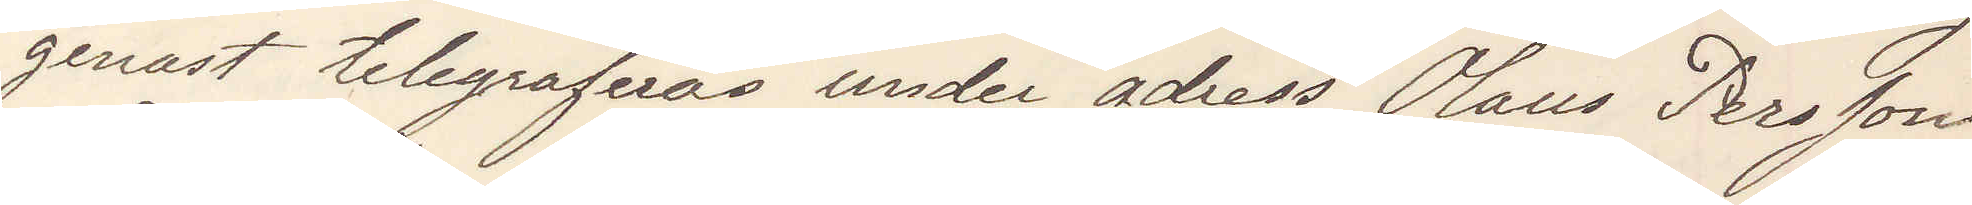genast telegraferas under adress Olaus Persson
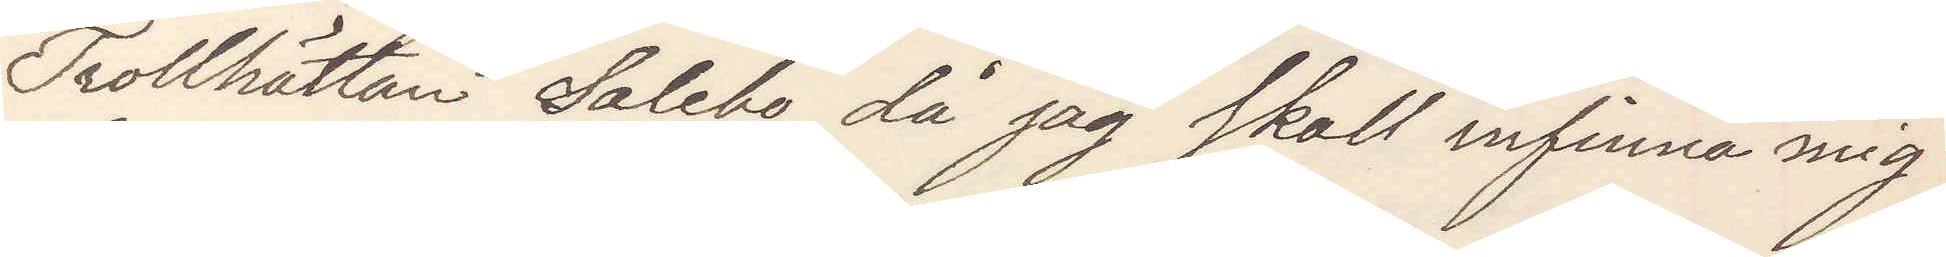Trollhättan Salebo då jag skall infinna mig
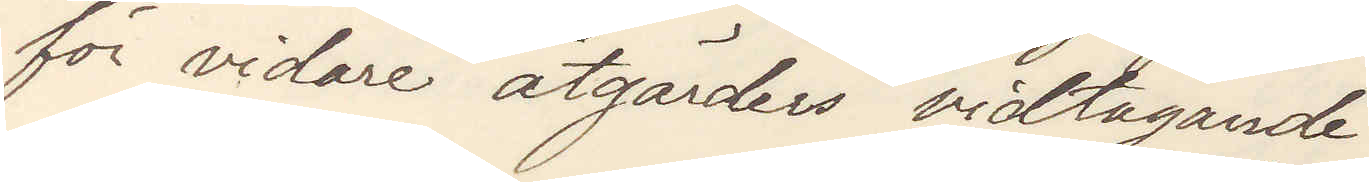för vidare åtgärders vidtagande
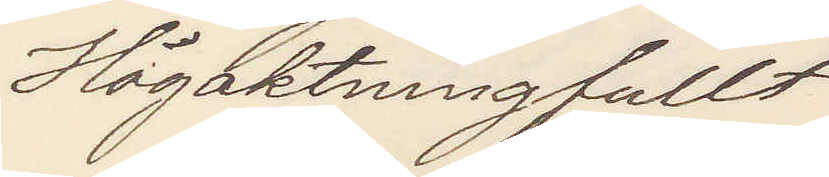Högaktningsfullt
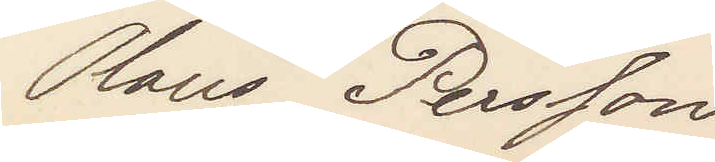Olaus Persson
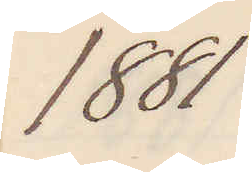1881
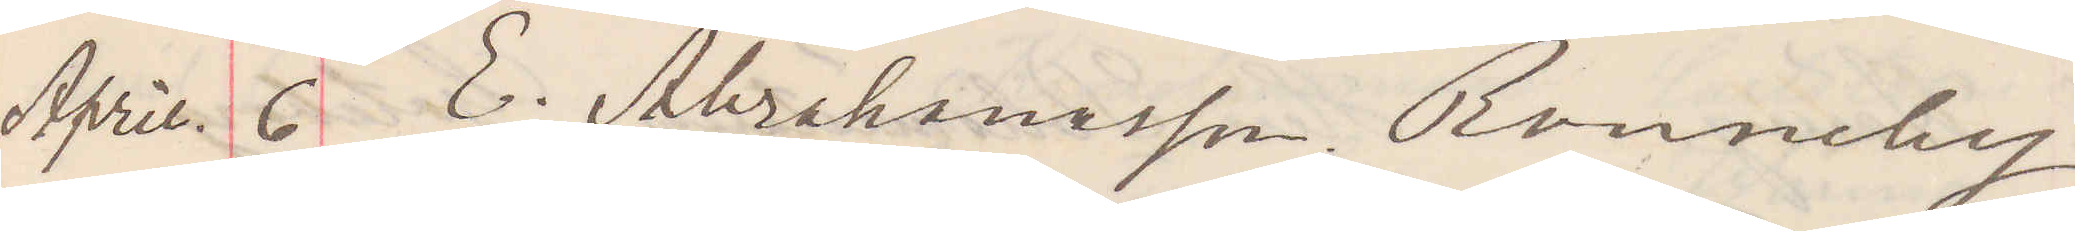April. 6  E. Abrahamsson Ronneby.
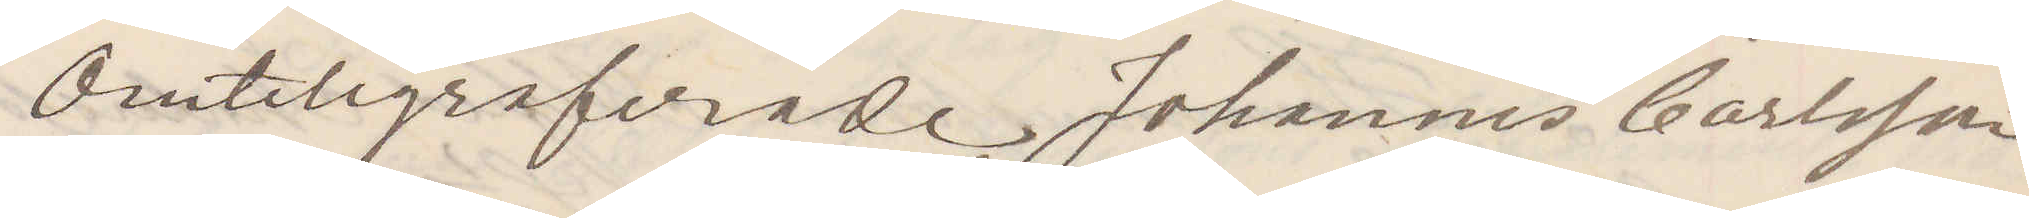Omtelegraferade Johannes Carlsson
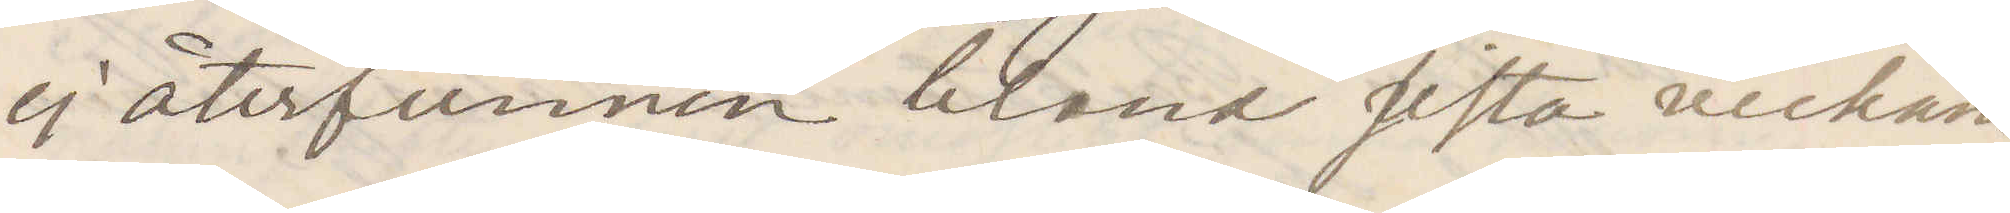ej återfunnen bland sista veckans
